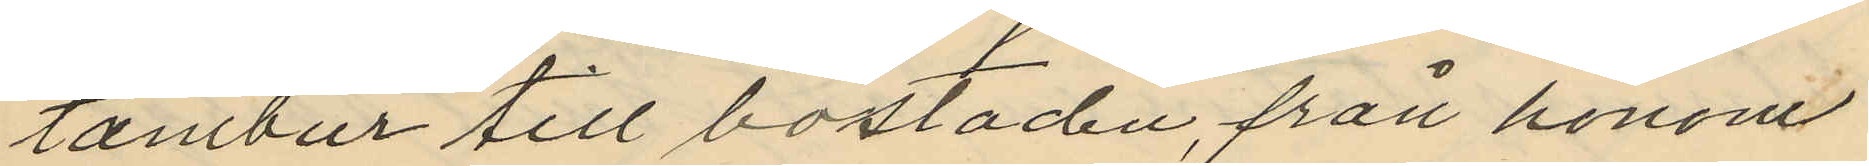tambur till bostaden, från honom
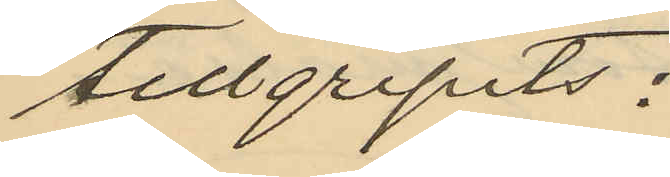tillgripits:
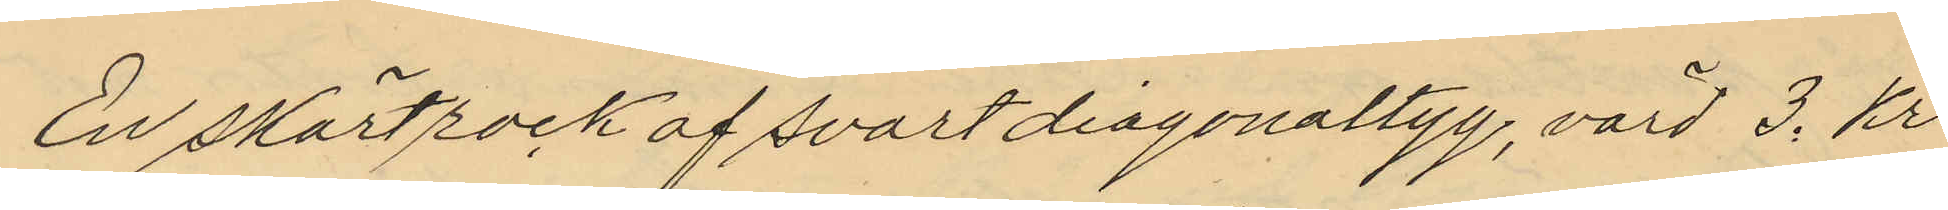En skörtrock af svart diagonaltyg, värd 3. kr
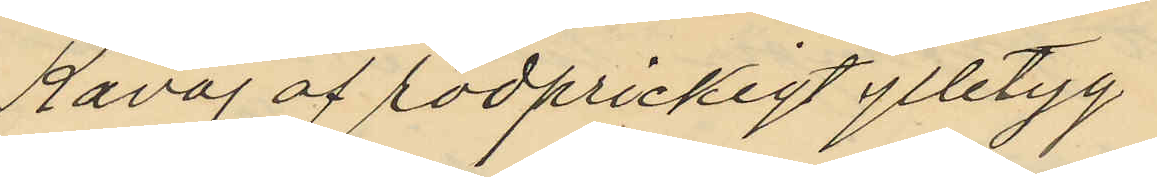Kavaj af rödprickigt ylletyg
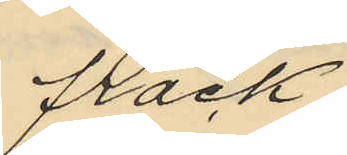frack
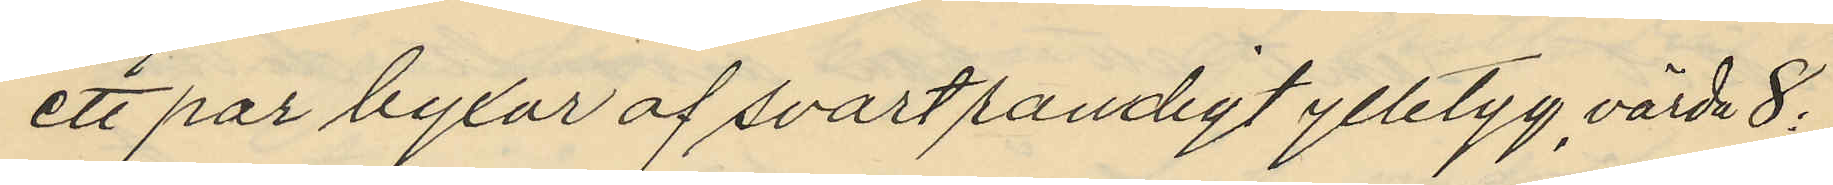ett par byxor af svartrandigt ylletyg, värda 8:
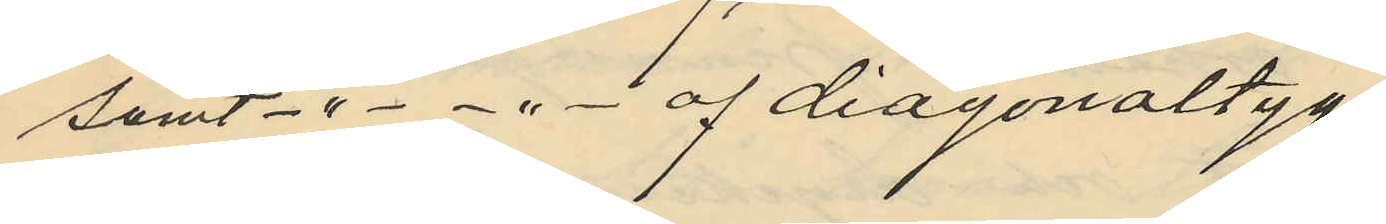samt  -" - - " - af diagonaltyg
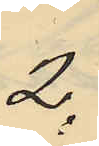2.
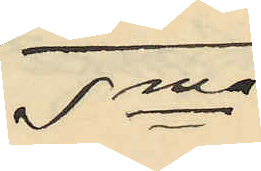Sma
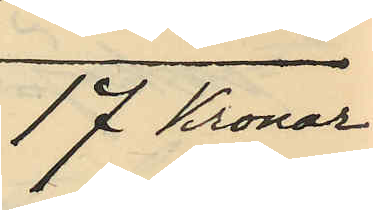17 kronor
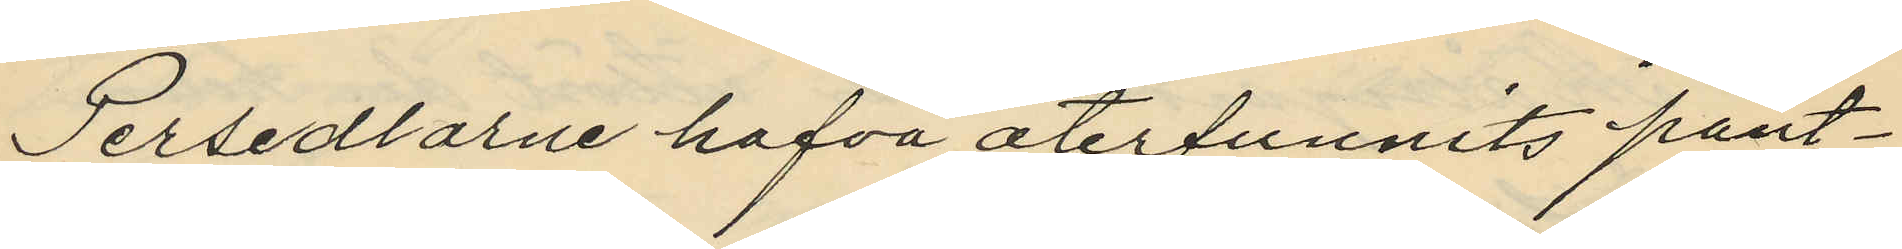Persedlarne hafva återfunnits pant¬
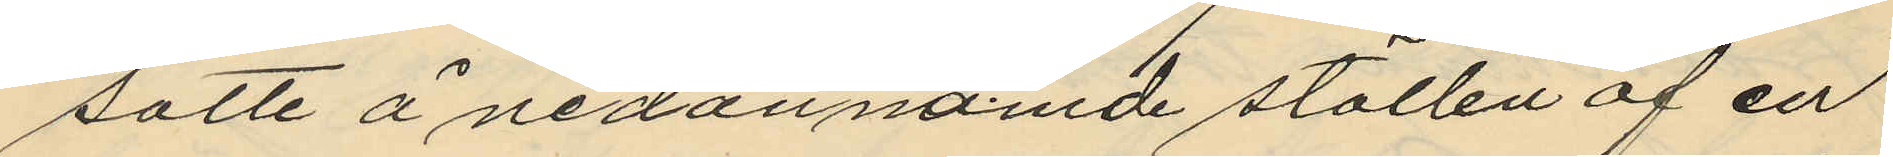satte å nedannämde ställen af en
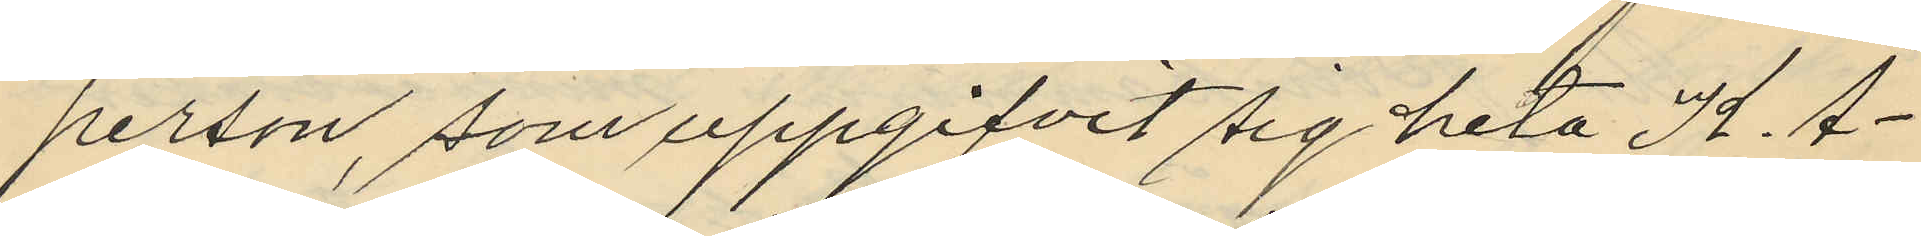person, som uppgifvit sig heta K. Å¬
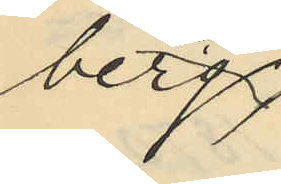berg
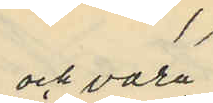och vara
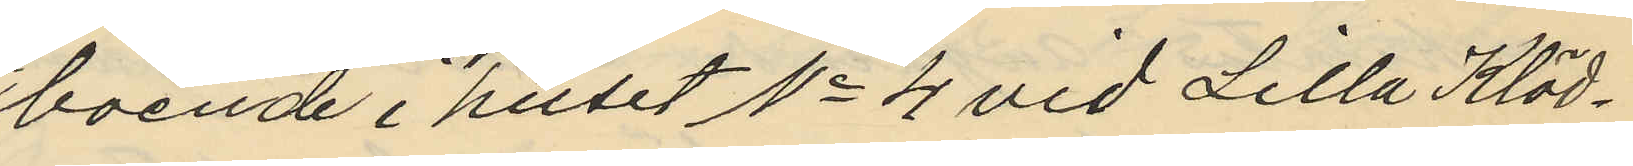boende i huset No 4 vid Lilla Kläd¬
